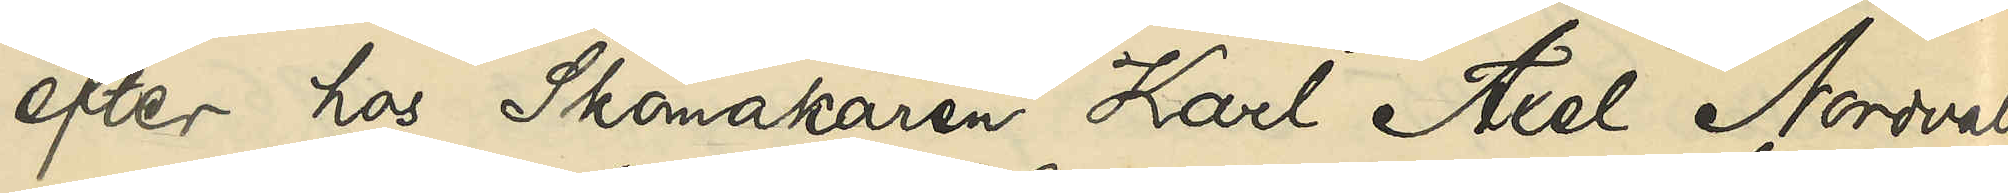efter hos Skomakaren Karl Axel Nordvall
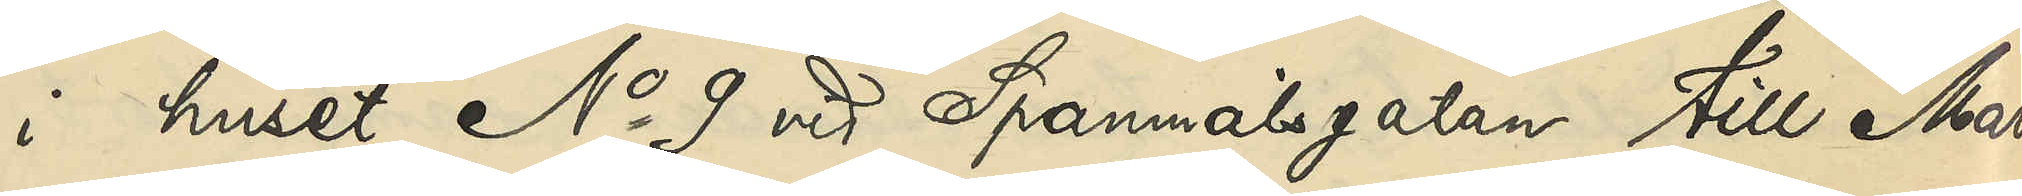i huset No 9 vid Spannmålsgatan till Mars
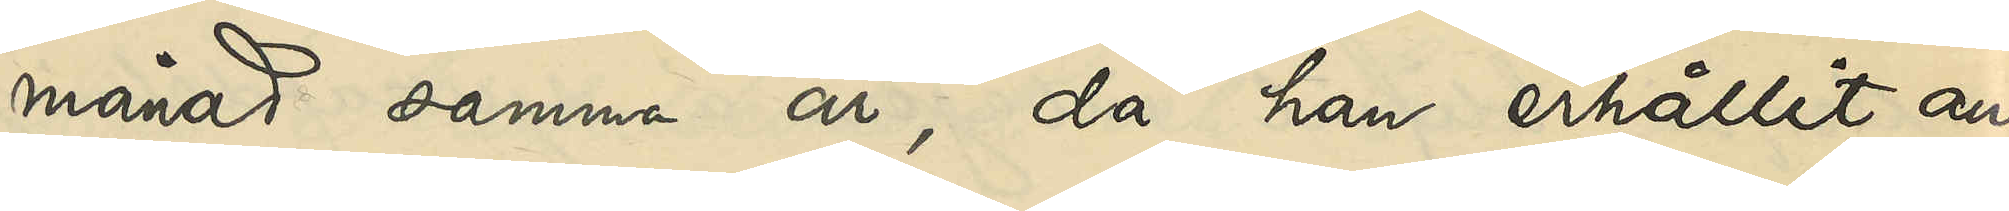månad samma år, då han erhållit an¬
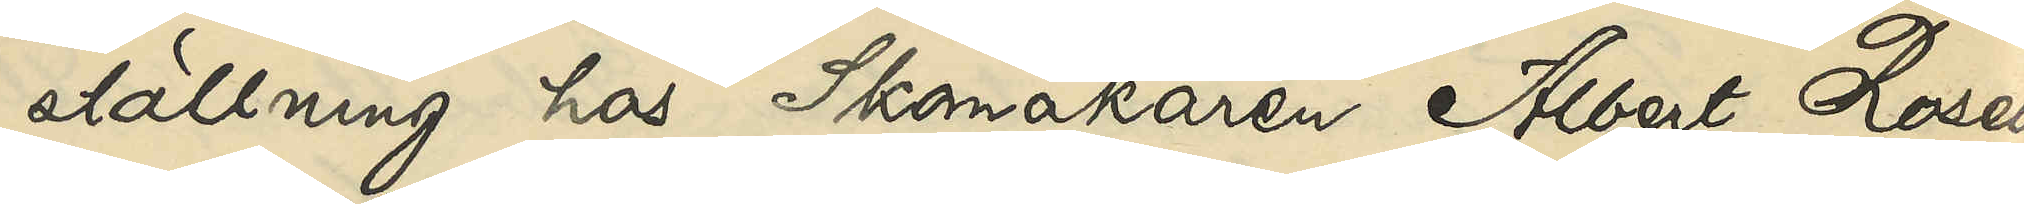ställning hos Skomakaren Albert Rosell
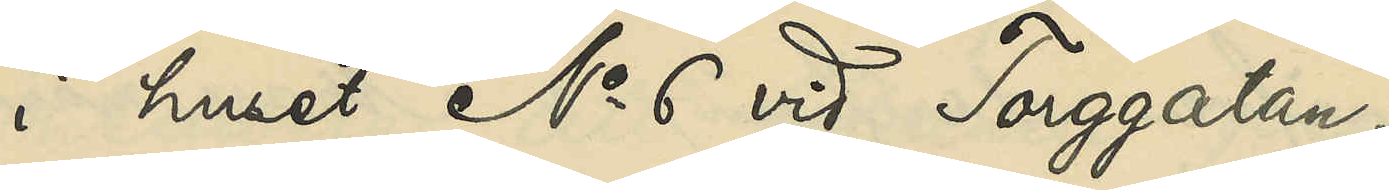i huset No 6 vid Torggatan,
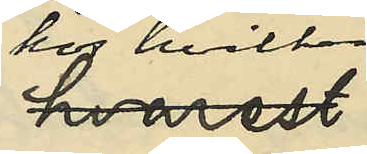hos hvilken
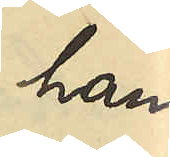han
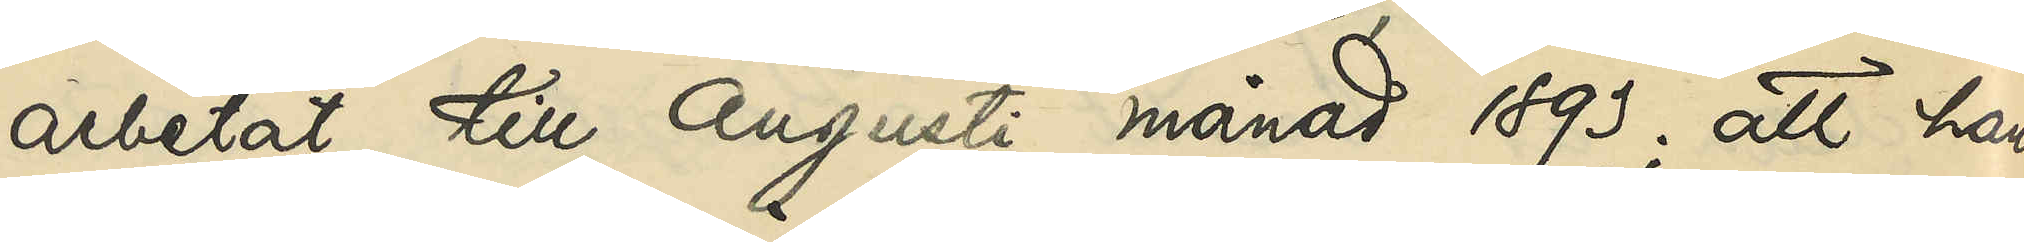arbetat till Augusti månad 1893; att han,
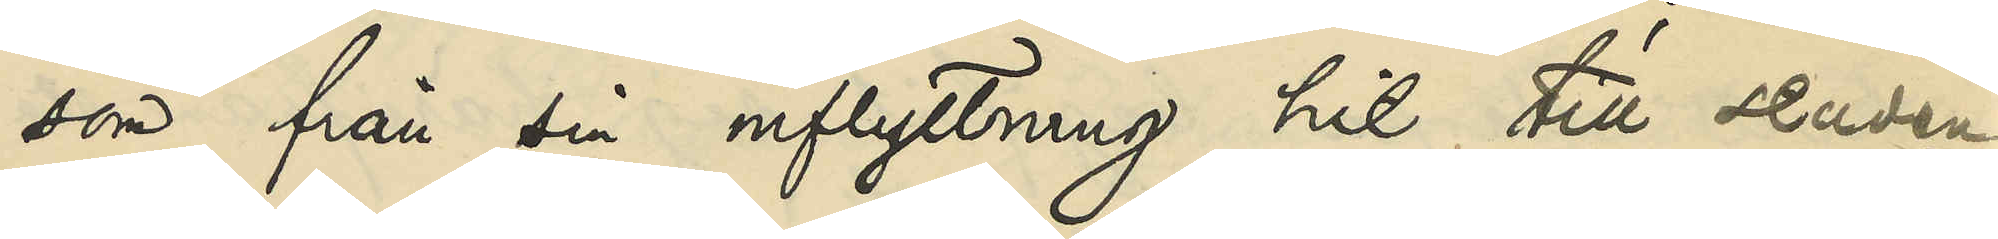som från sin inflyttning hit till staden
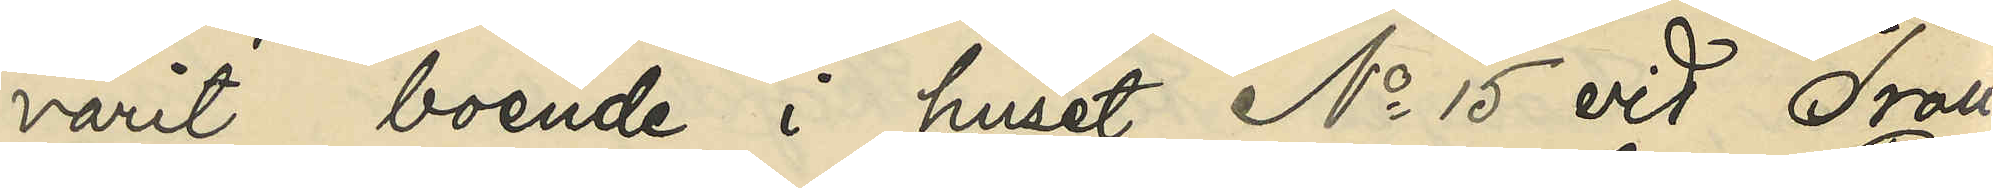varit boende i huset No 15 vid Troll¬
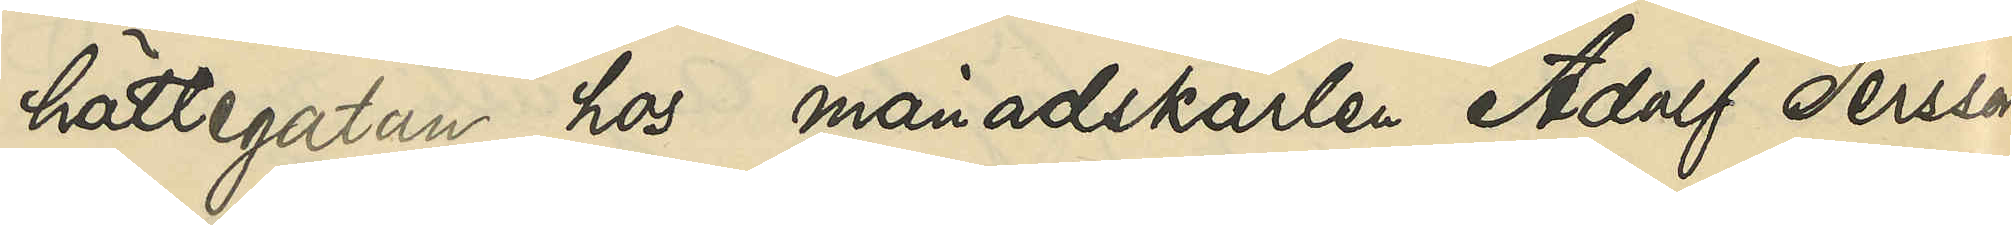hättegatan hos månadskarlen Adolf Persson
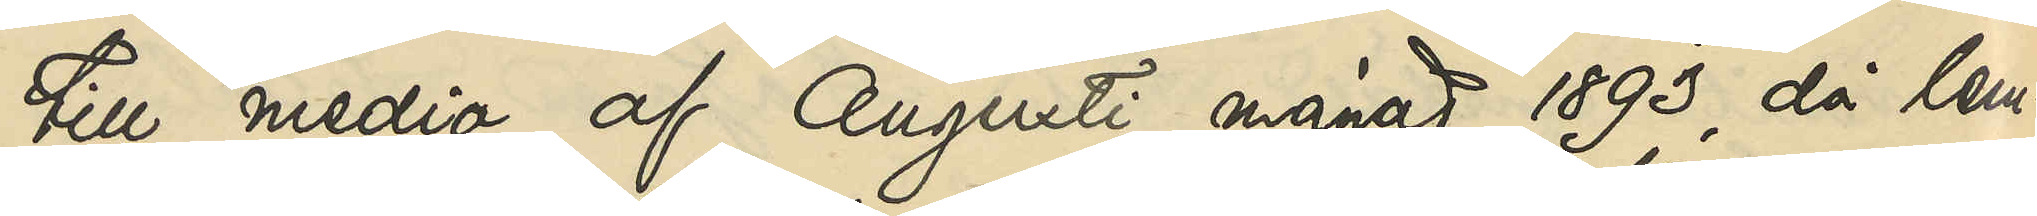till medio af Augusti månad 1893, då lem¬
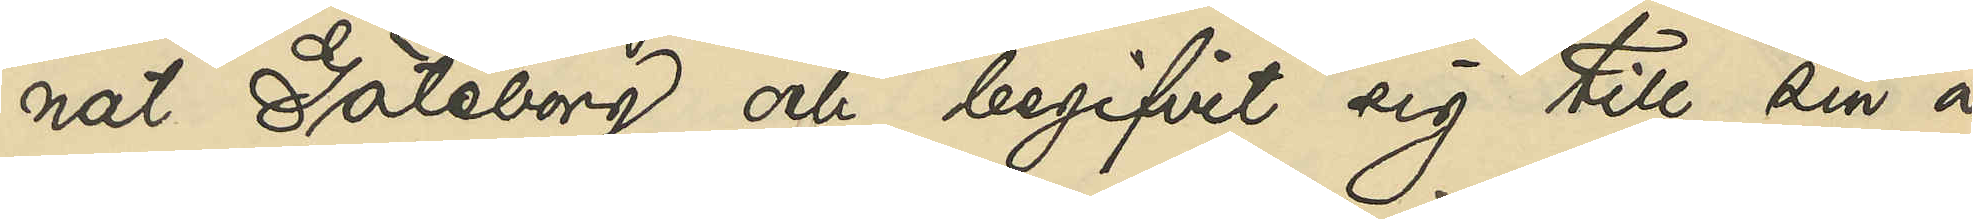nat Göteborg och begifvit sig till sin å
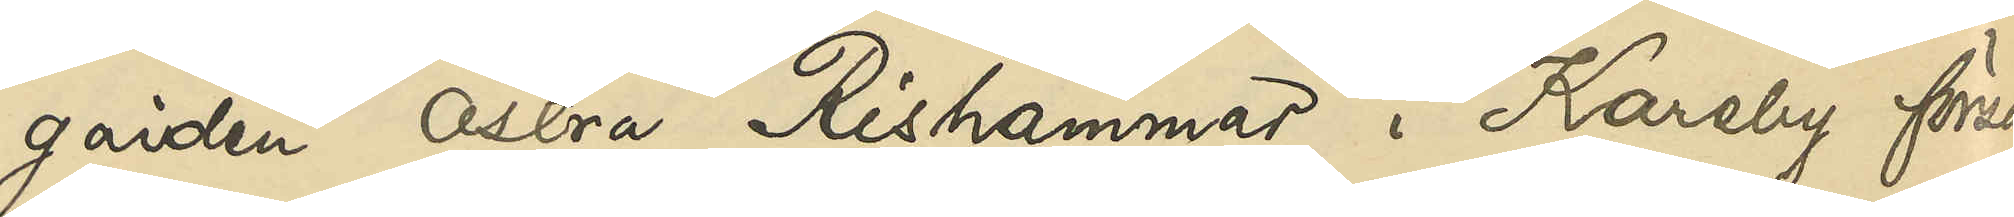gården Östra Rishammar i Kareby försam¬
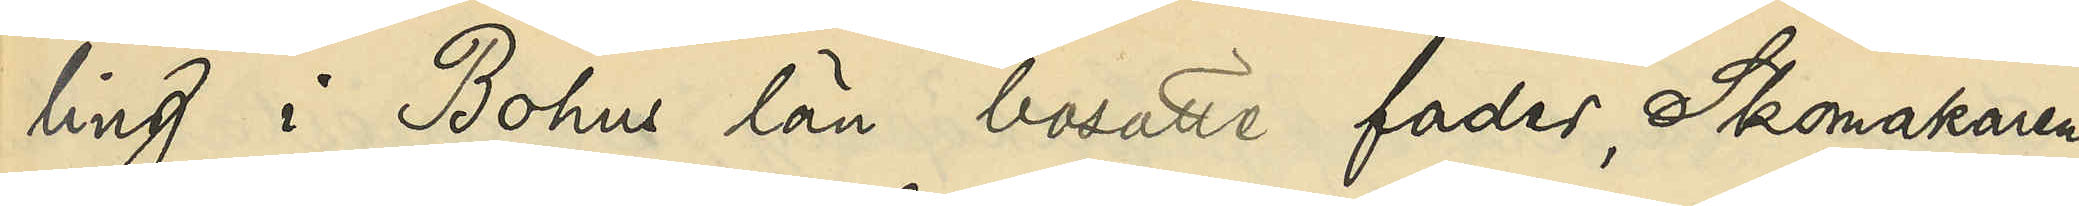ling i Bohus län bosatte fader, Skomakaren
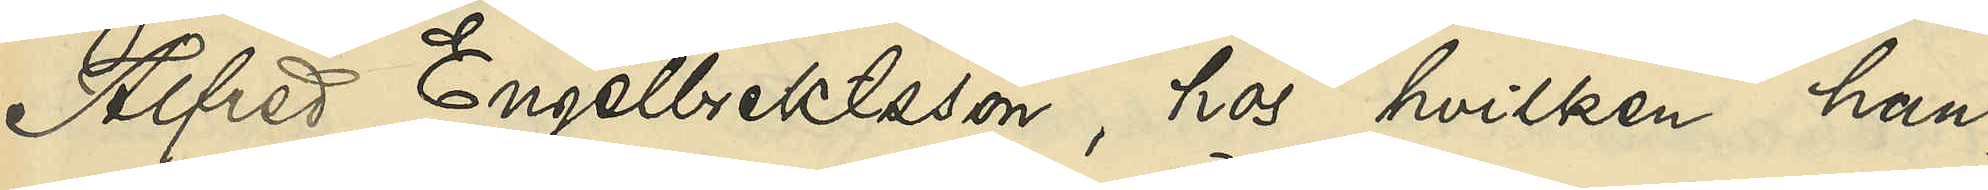Alfred Engelbrektsson, hos hvilken han,
